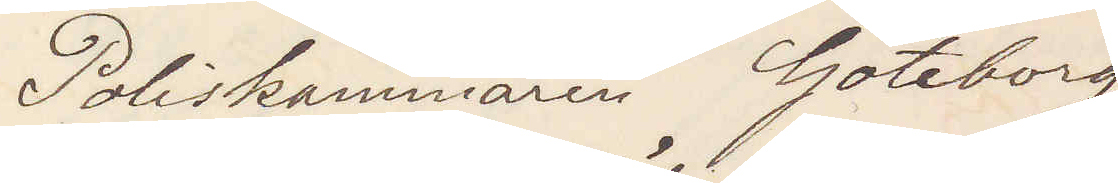Poliskammaren Göteborg
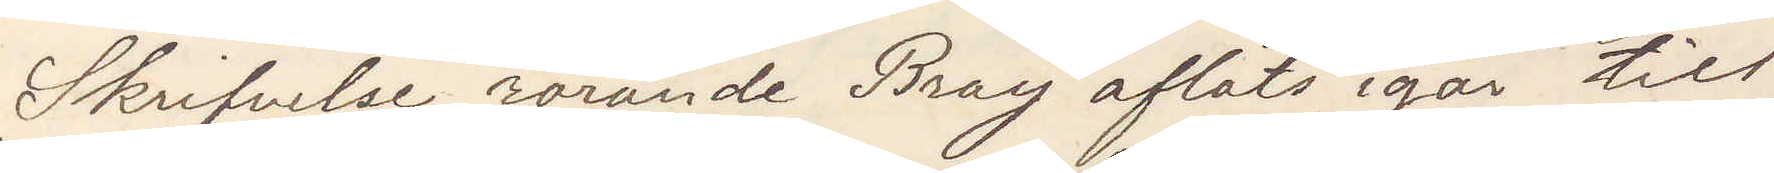Skrifvelse rörande Bray afläts igår till
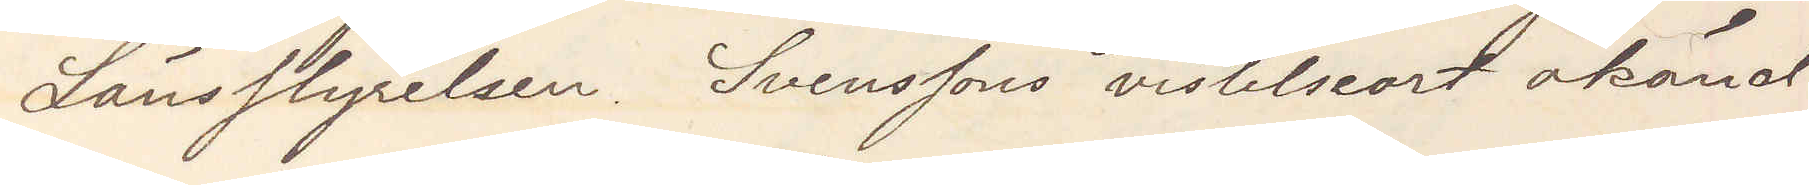Länsstyrelsen. Svenssons vistelseort okänd
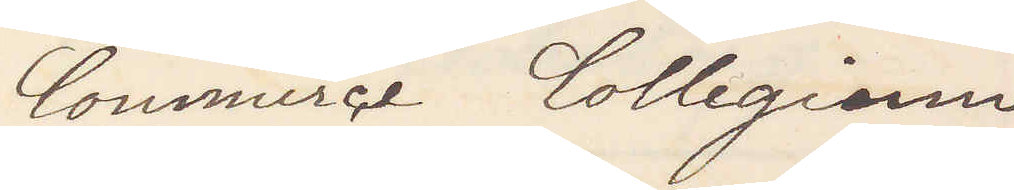Commerce Collegium
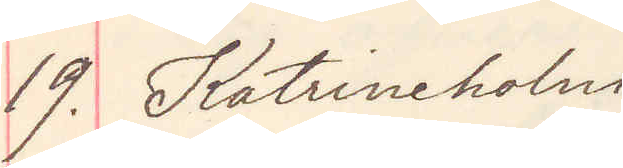19. Katrineholm
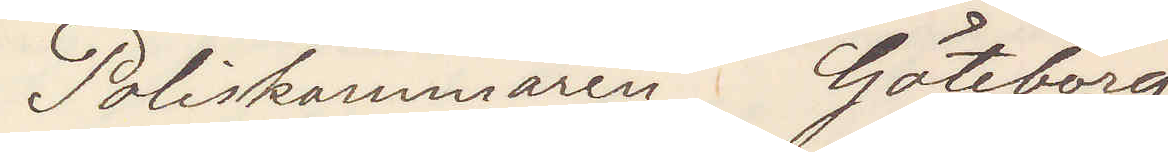Poliskammaren Göteborg
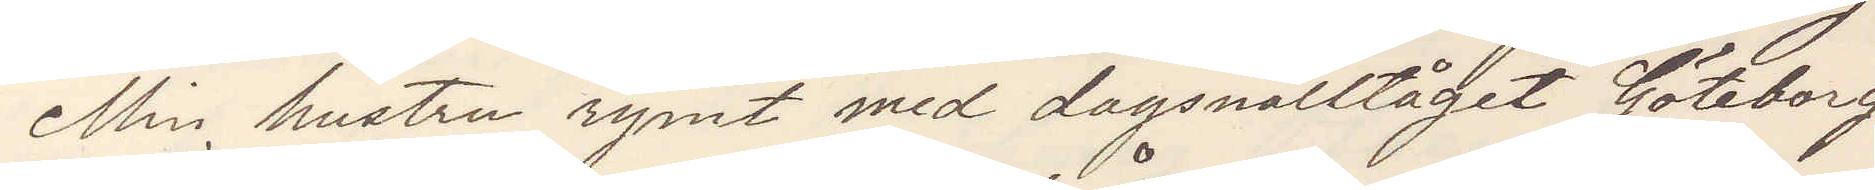Min hustru rymt med dagsnälltåget Göteborg
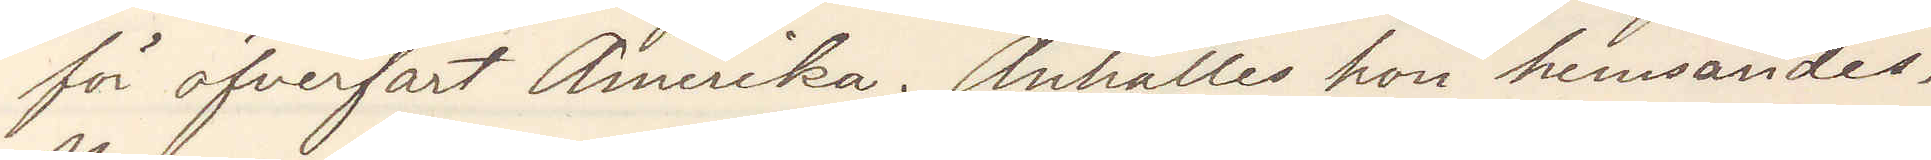för öfverfart Amerika. Anhålles hon hemsändes
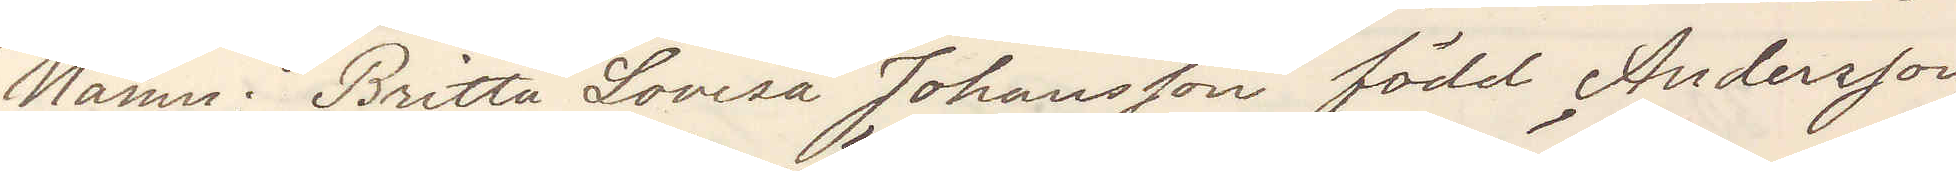Namn Britta Lovisa Johansson född Andersson,
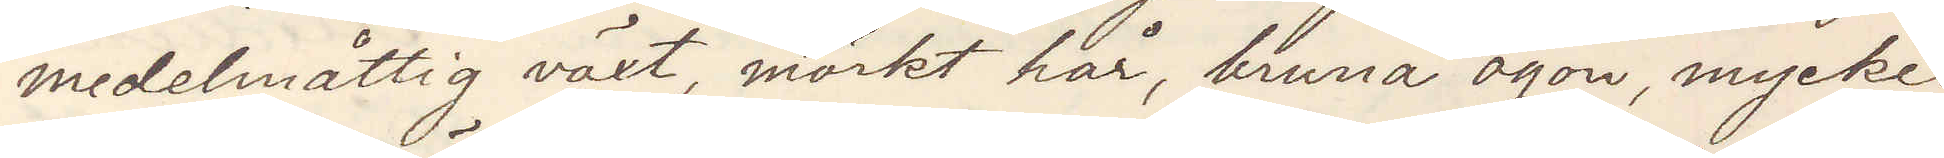medelmåtttig växt, mörkt hår, bruna ögon, mycket
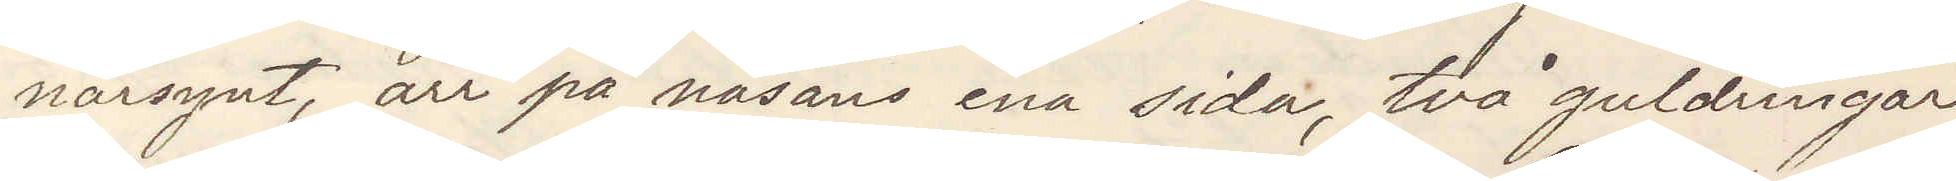närsynt, ärr på näsans ena sida, två guldringar
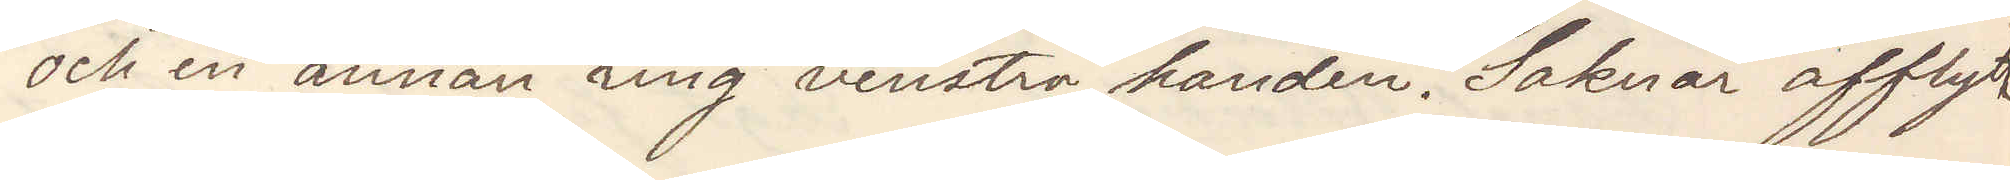och en annan ring venstra handen. Saknar afflytt¬
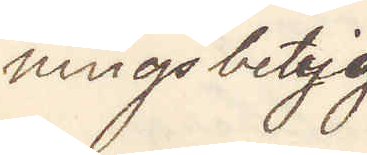ningsbetyg
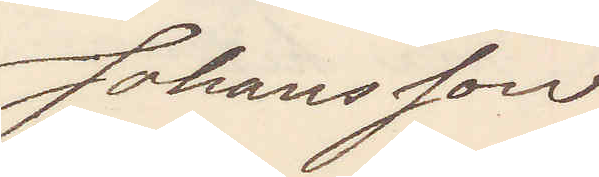Johansson
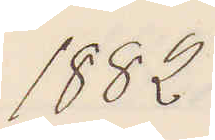1882
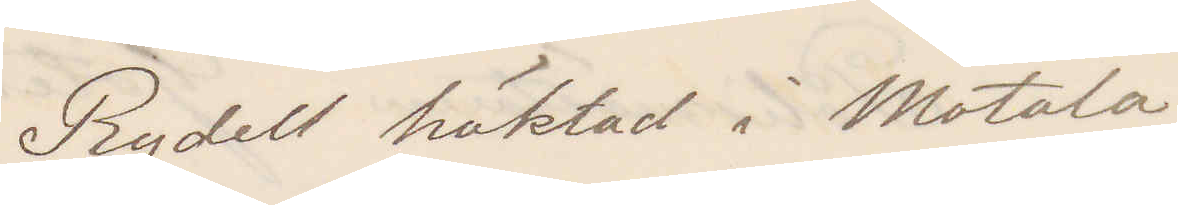Rydell häktad i Motala
